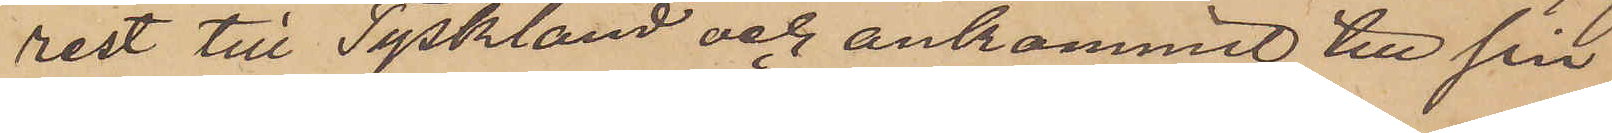rest till Tyskland och ankommit till sin
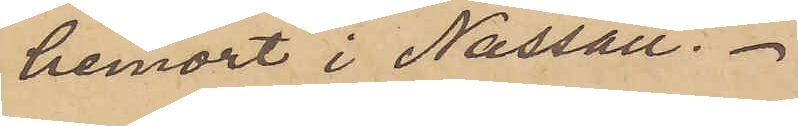hemort i Nassau.
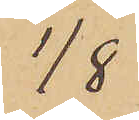1/8
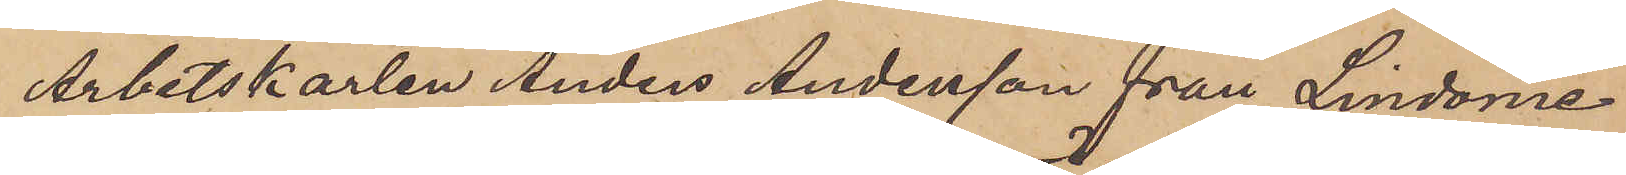Arbetskarlen Anders Andersson från Lindome
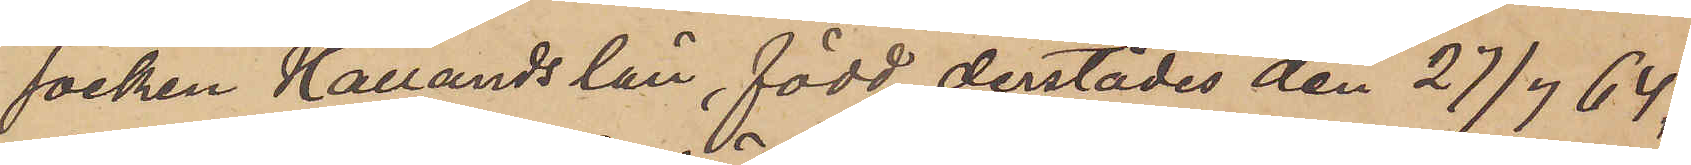socken Hallands län, född derstädes den 27/7 64,
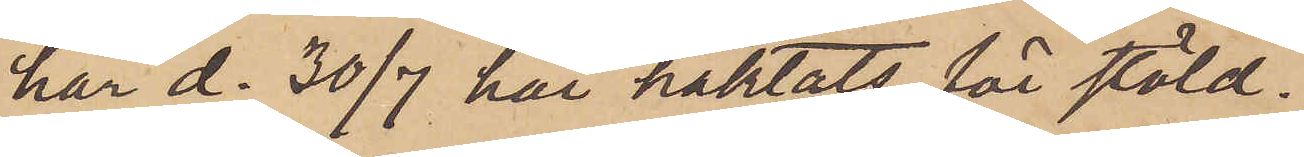har d. 30/7 här häktats för stöld.
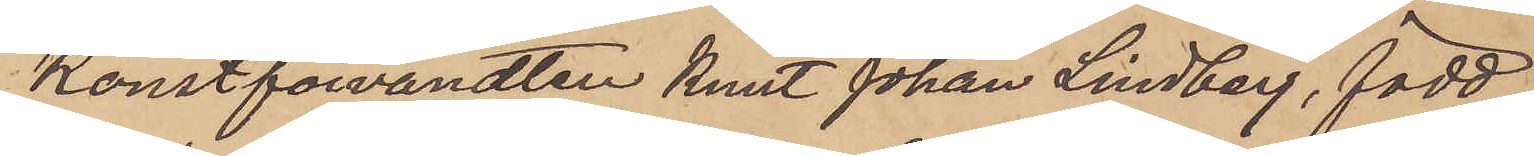Konstförvandten Knut Johan Lindberg, född
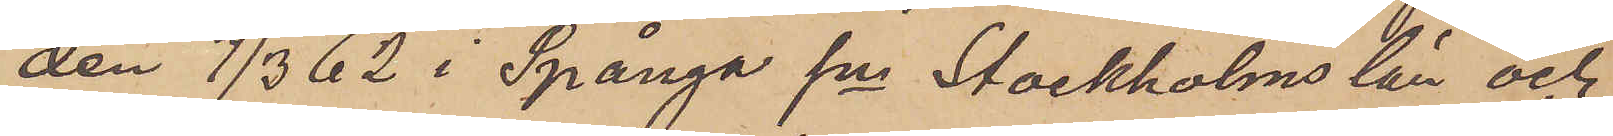den 7/3 62 i Spånga sn Stockholms län och
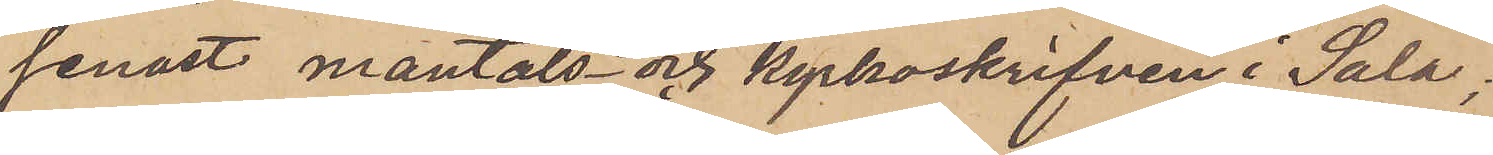senast mantals- och kyrkoskrifven i Sala;
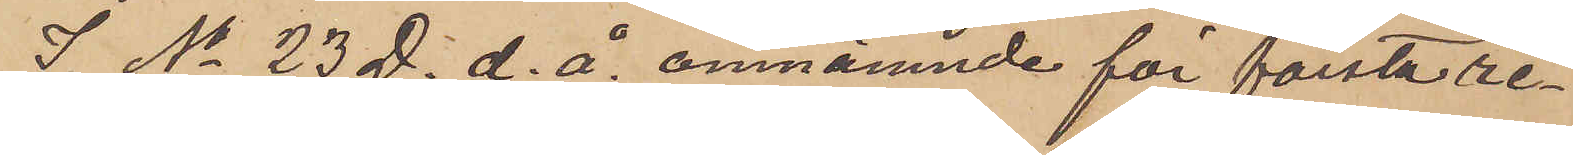I No 23 D. d. å. omnämnde för första re¬
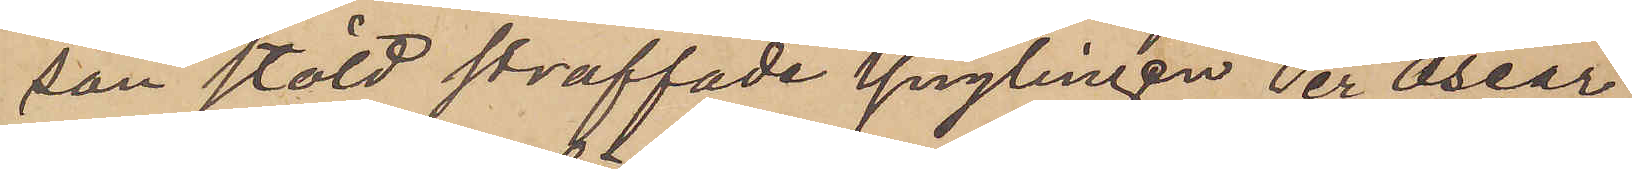san stöld straffade Ynglingen Per Oscar
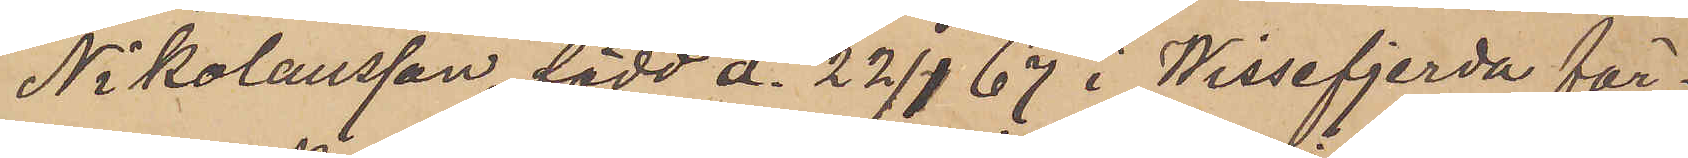Nikolausson, född d. 22/1 67 i Wissefjerda för¬
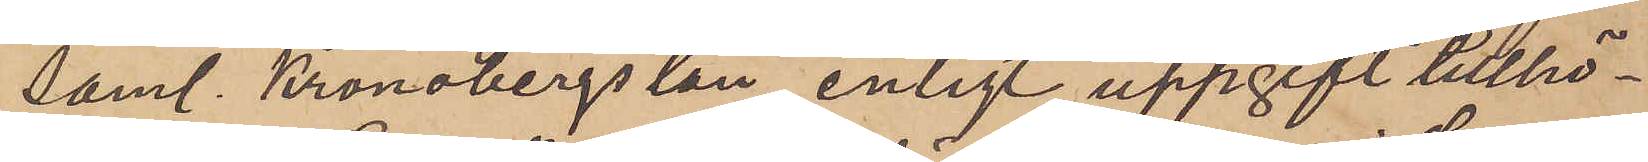saml. Kronobergs län, enligt uppgift tillhö¬
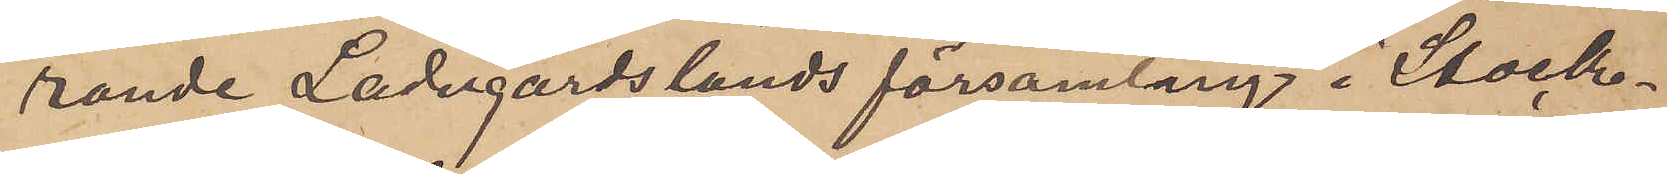rande Ladugårdslands församling i Stock¬
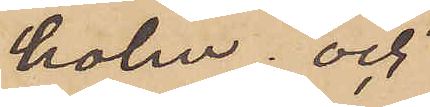holm; och
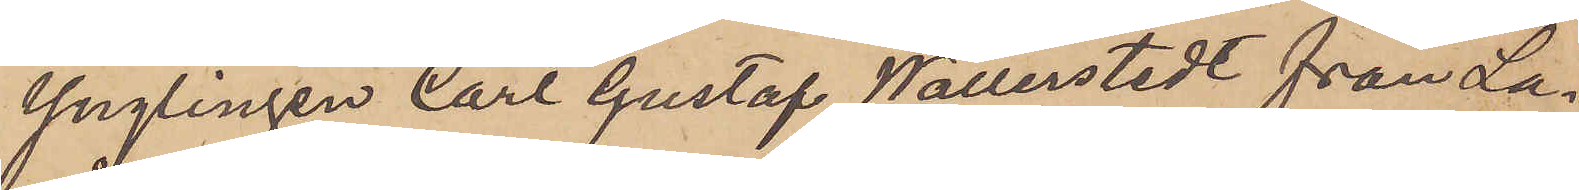Ynglingen Carl Gustaf Wallerstedt från La¬
